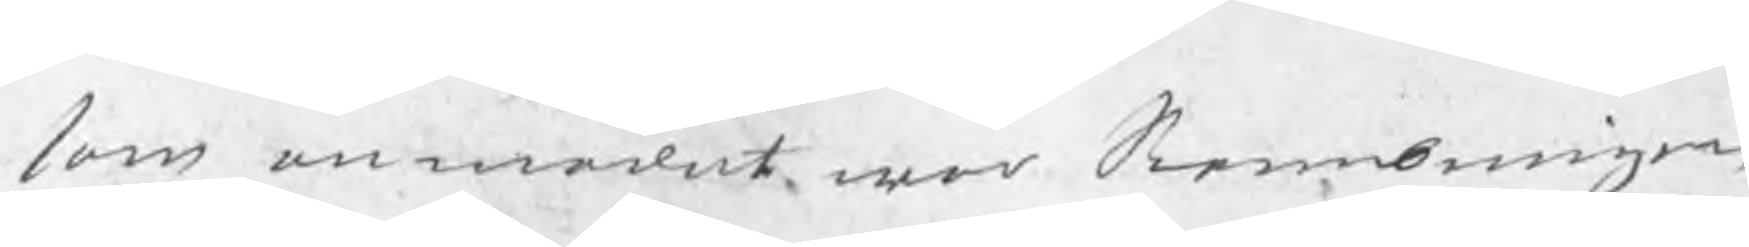som anmodat war Stembningen
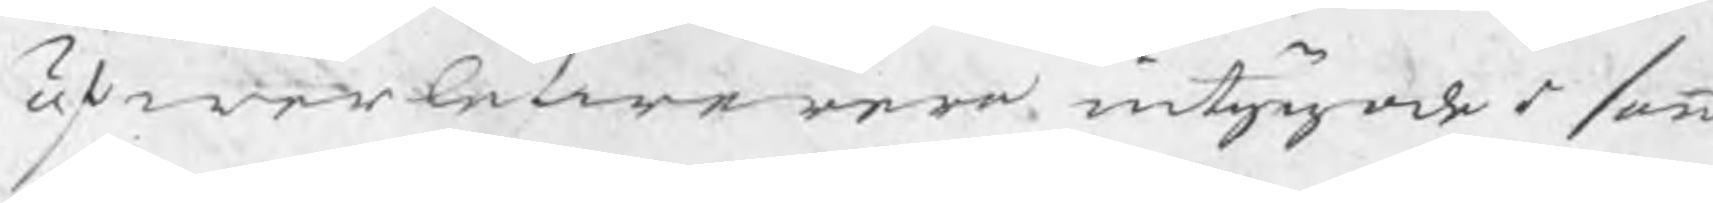öfwerlefwerera intygade s samm
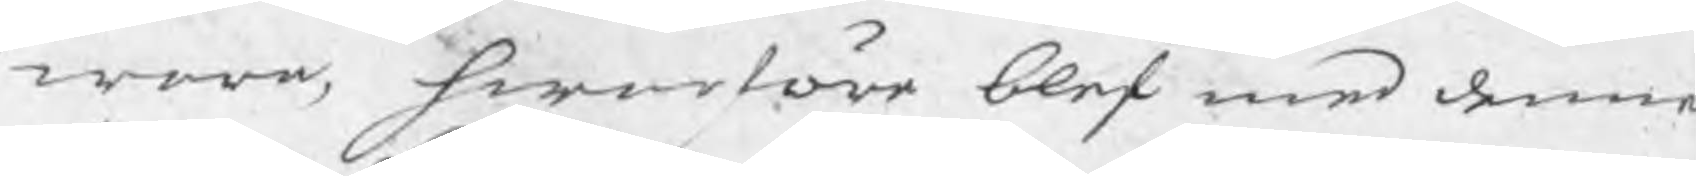wara, hwarföre blef med denne
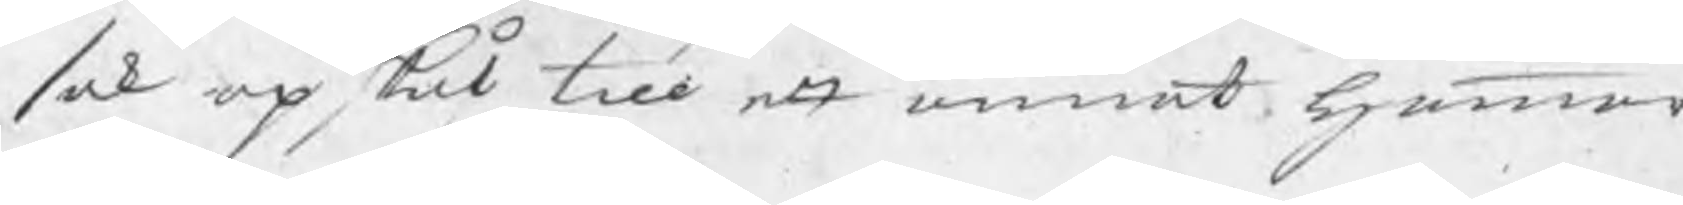sak opskof till ett annat hammar-
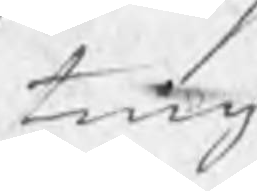ting
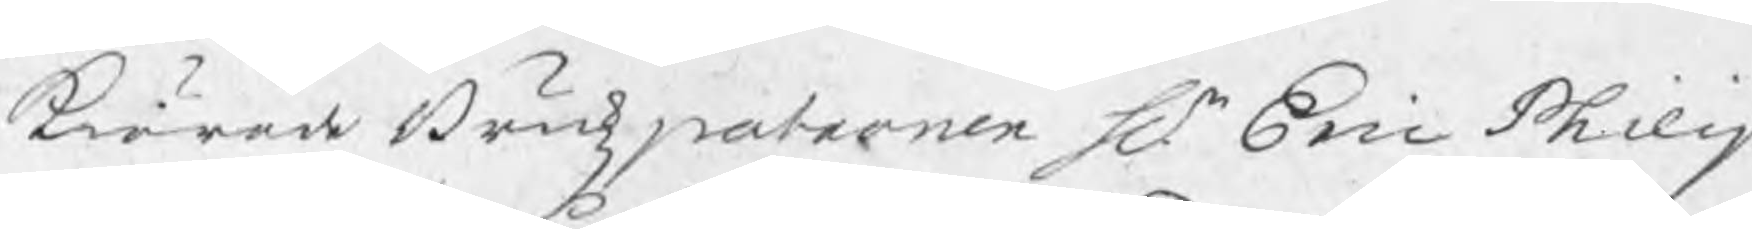kiärade Brukzpatronen Hr Eric Philip
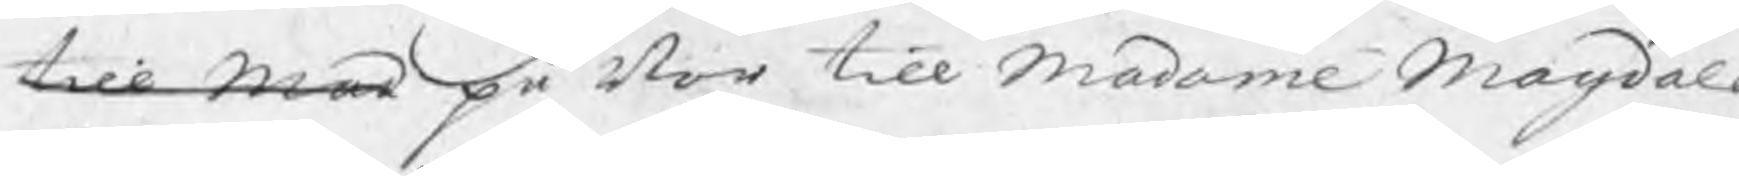till mad på Bor till Madame Magdale
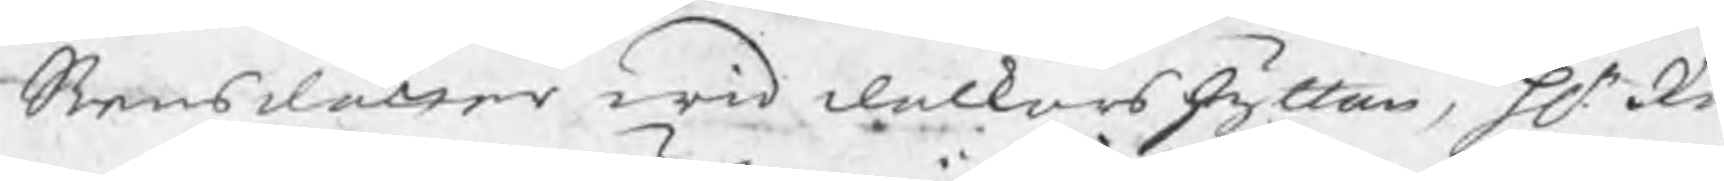Swensdotter wid dalkarshyttan, Hr Rå
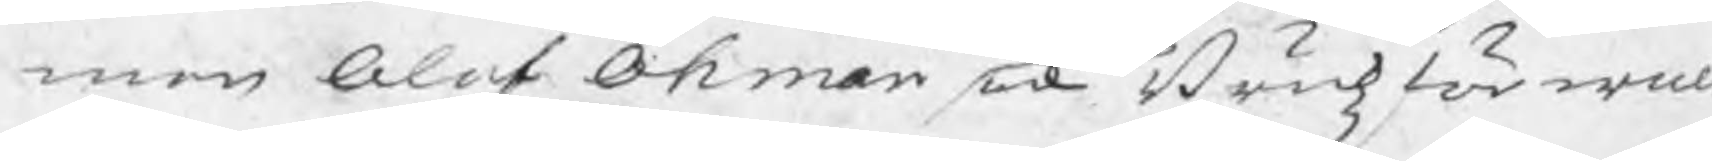man Olof Öhman ock Brukzförwal
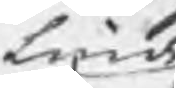Linde 
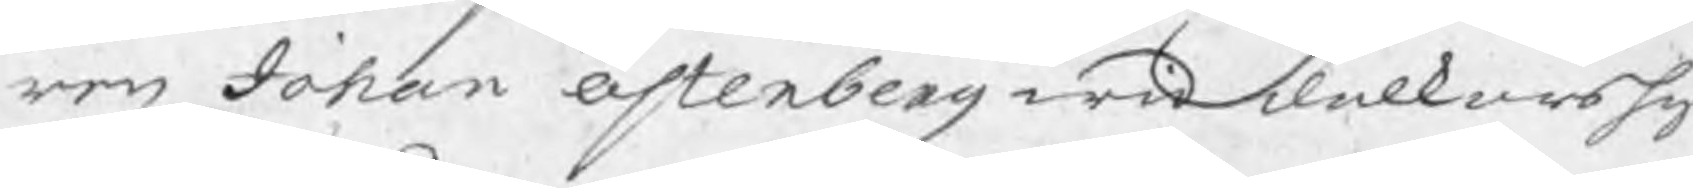ren Johan Österberg wid dalkarshy
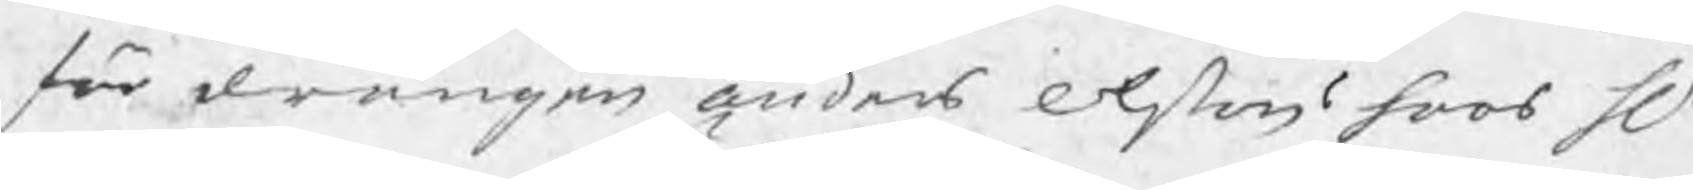för drängen Anders Olsons hoos Hr
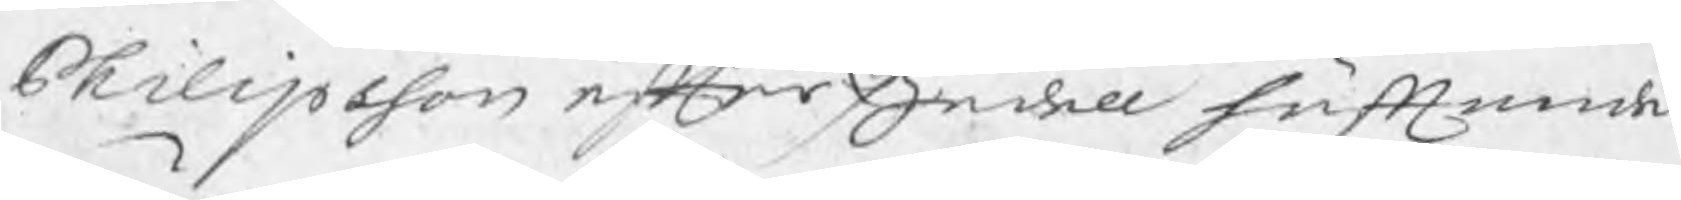Philipsson efter Zedell häfftande
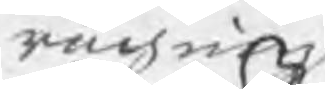rächning
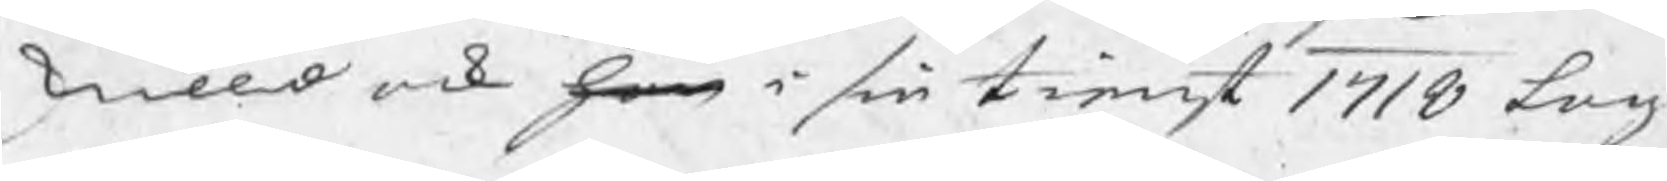skulld ock han i sin tienst 1718 Lagl
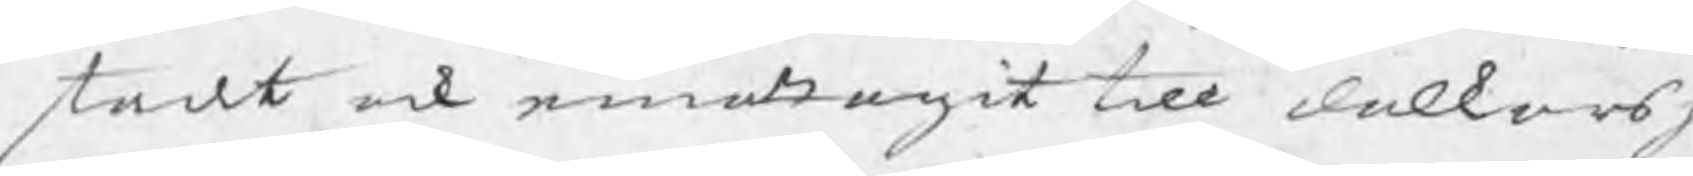stadt ock emottagit till dalkarsh
